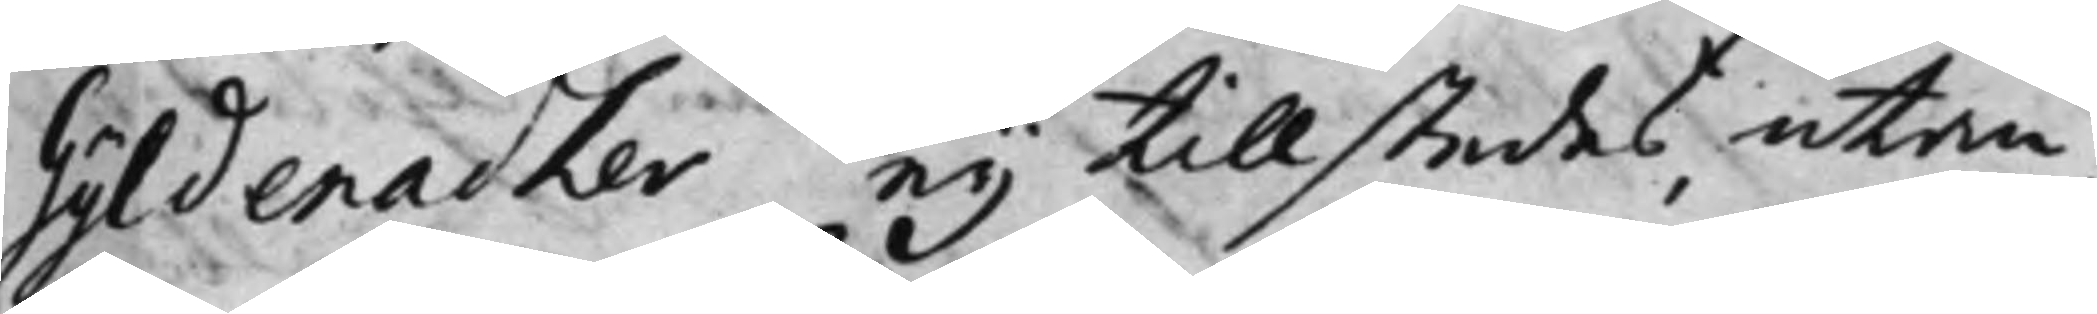Gyldenadler ej tillstedes utan
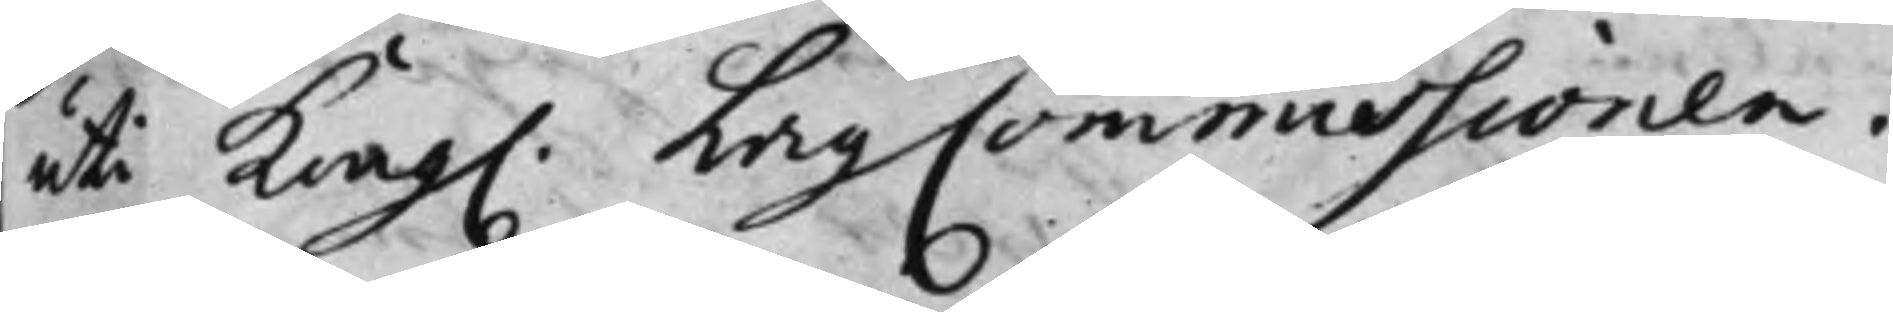uti Kong. LagCommissionen.
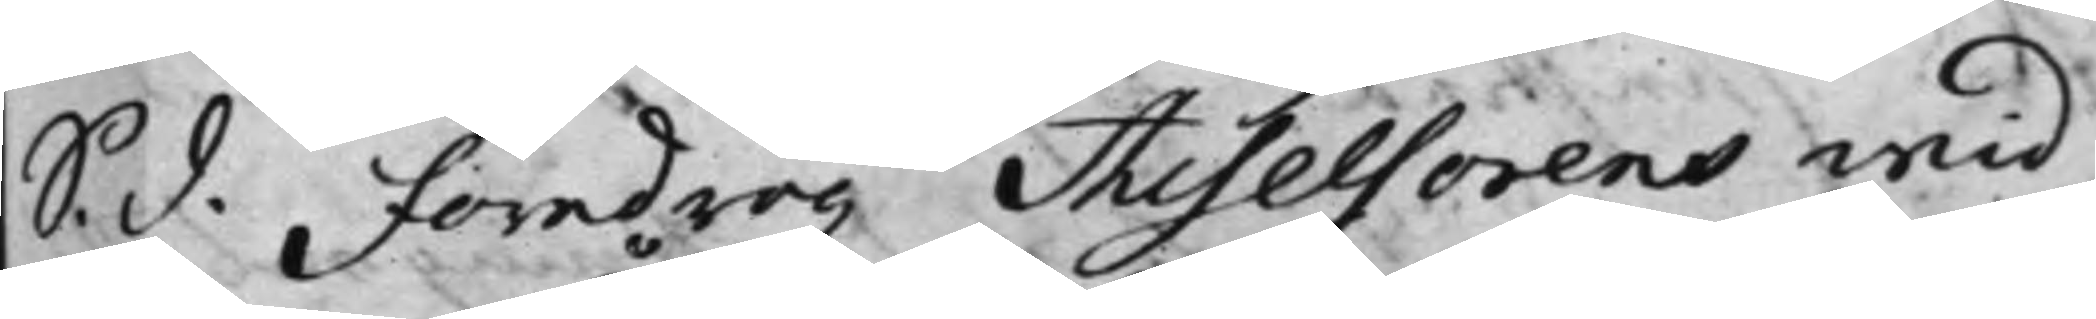S. D. föredrog Assessorens wid
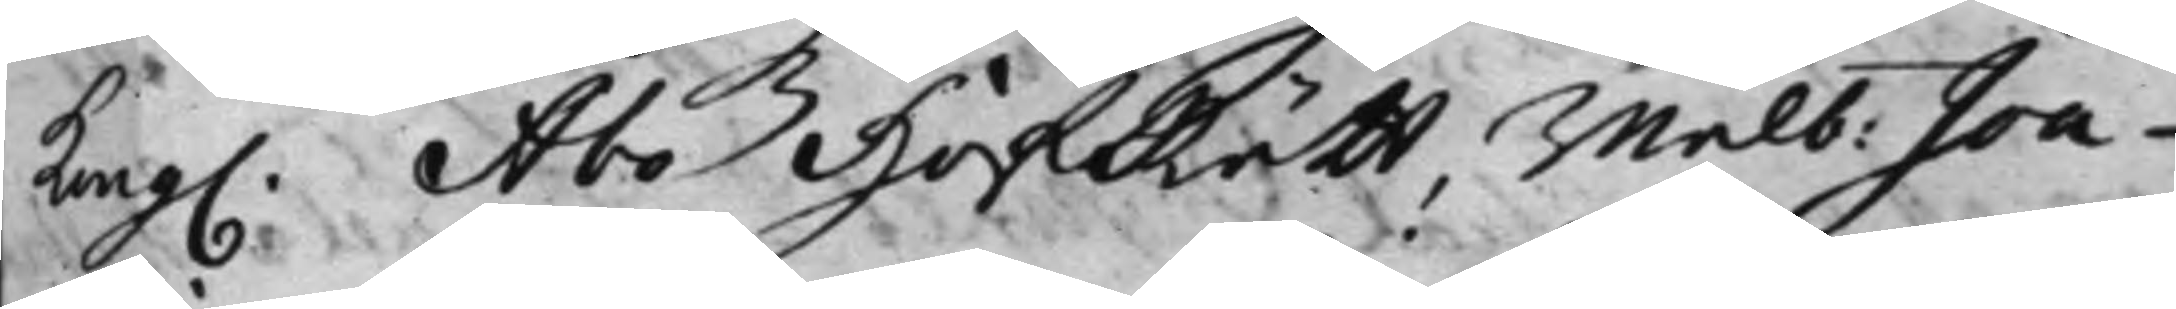Kong. Åbo HofRätt, wälb: Joa¬
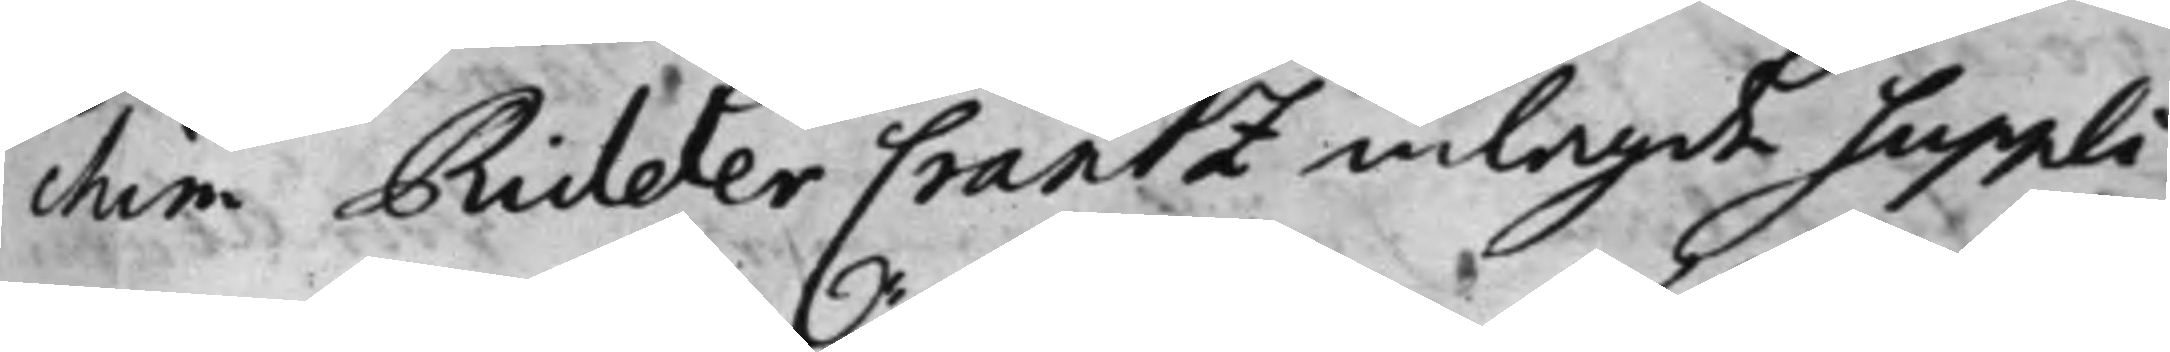chim RidderCrantz inlagde suppli¬
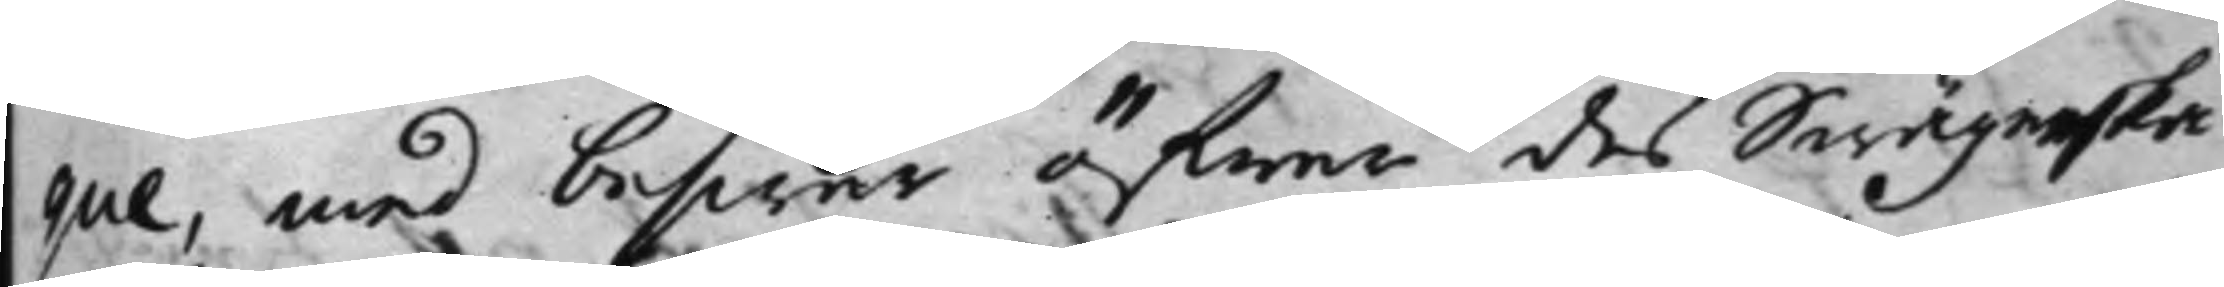que, med beswär öfwer des swägerska
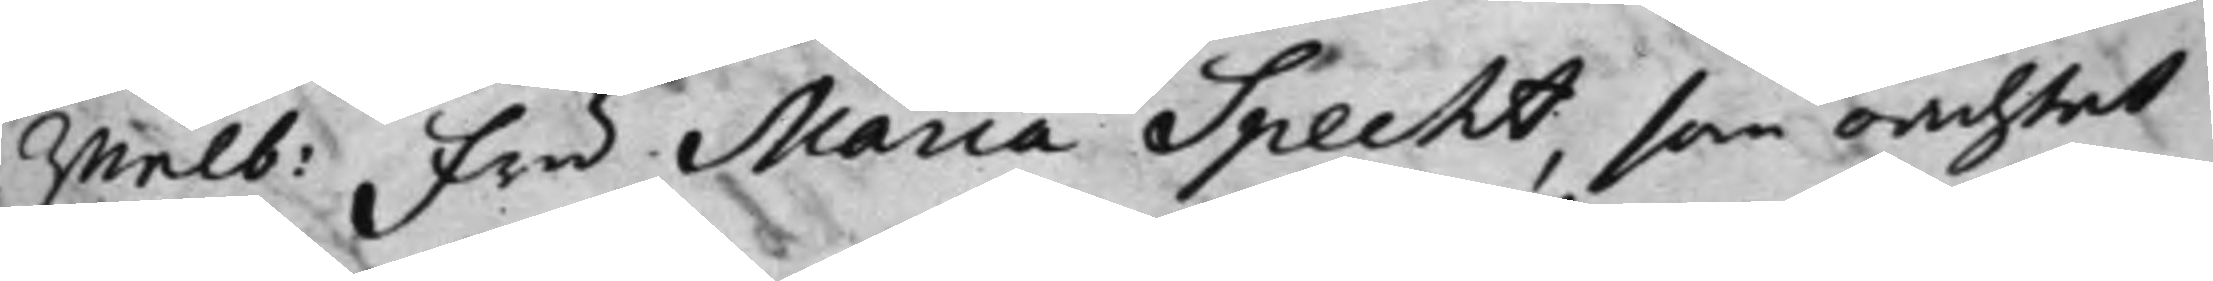wälb: fru Maria Specht, som oachtat
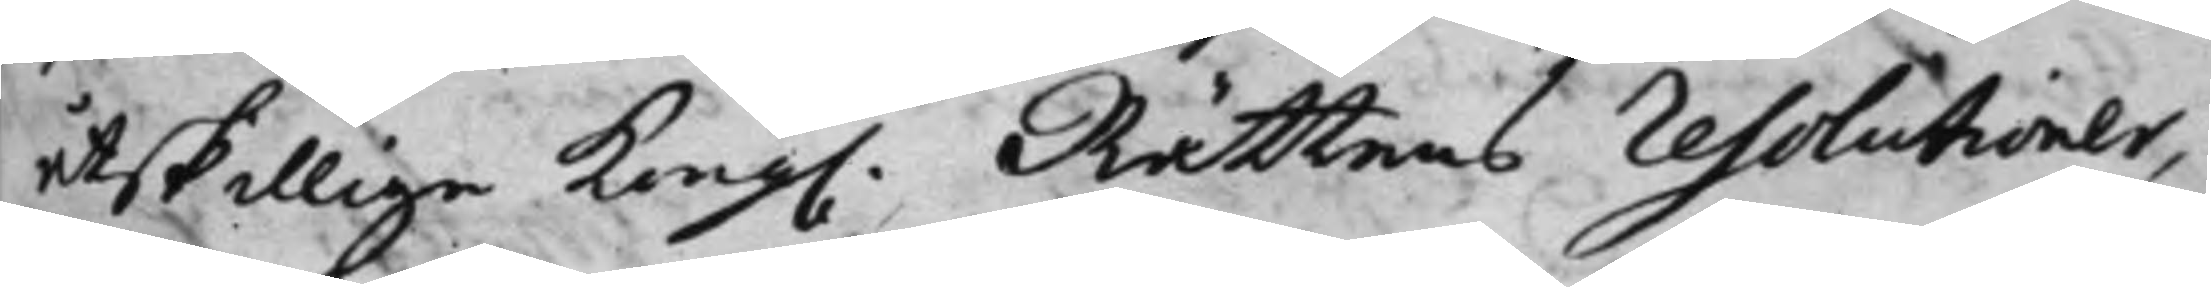åtskillige Kong. Rättens Resolutioner,
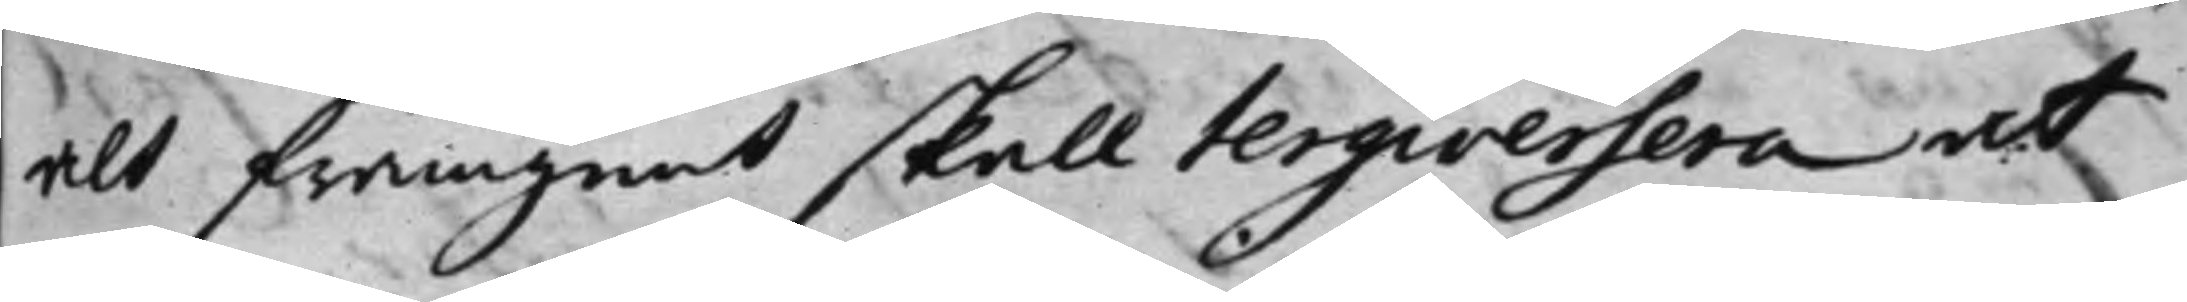alt framgent skall tergiversera at
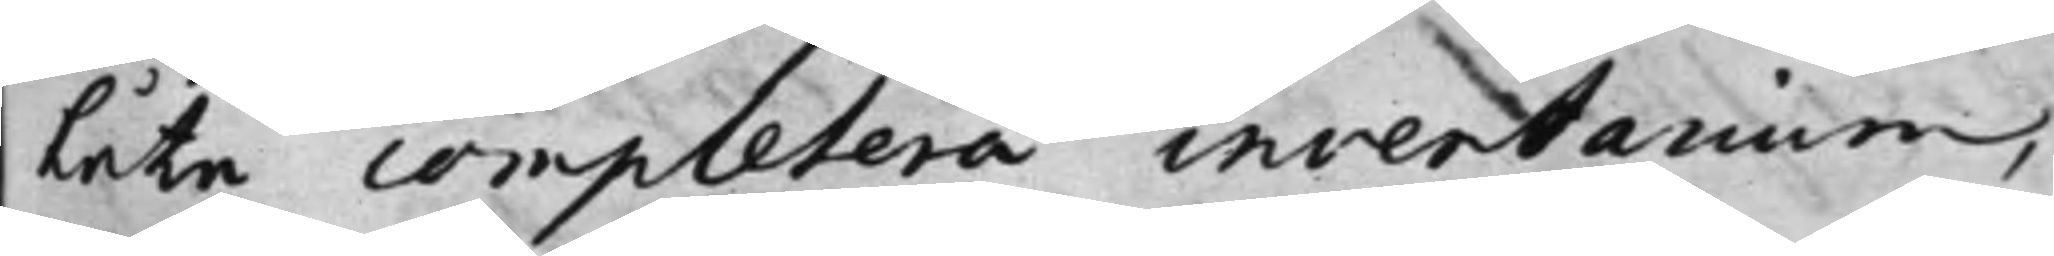låta completera inventarium,
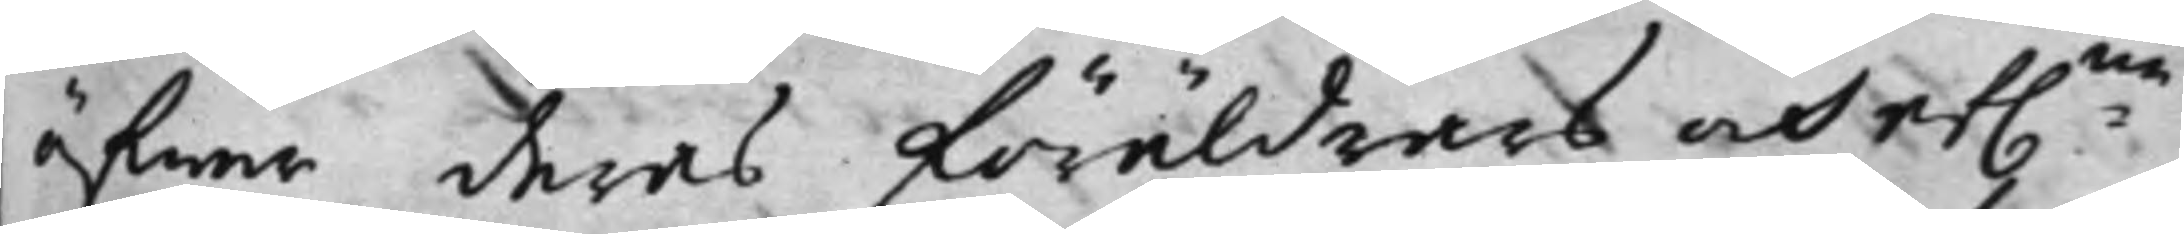öfwer deras föräldrars och ef.na
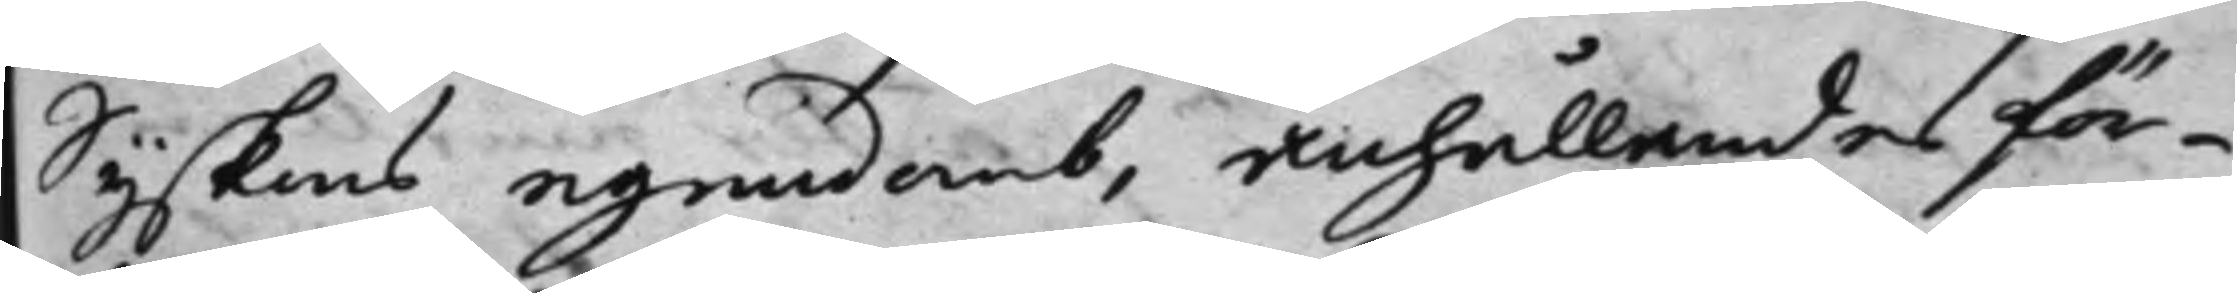syskons egendomb, anhållandes för¬
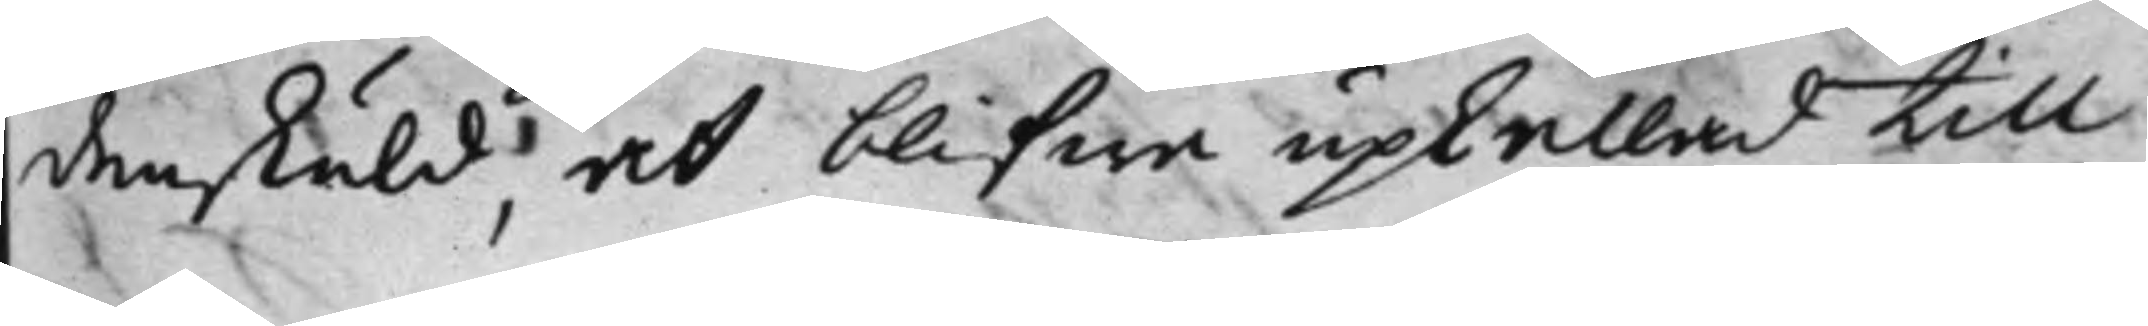denskuld; at blifwe upkallad till
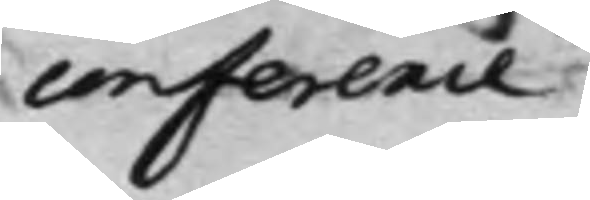conference
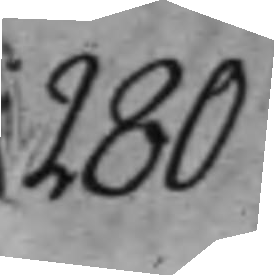280
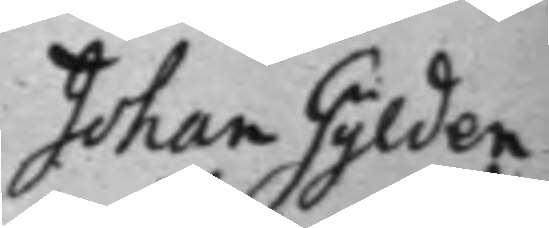Johan Gylden¬
